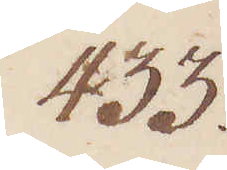433.
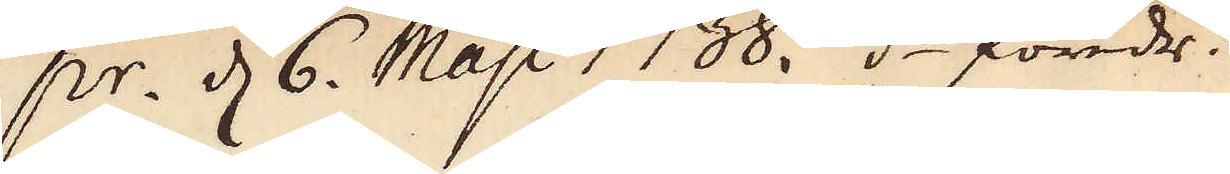pr. d 6. Maji. 1738. d:o föredr:
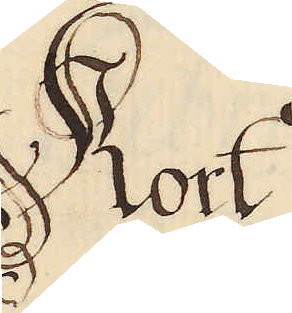Kort
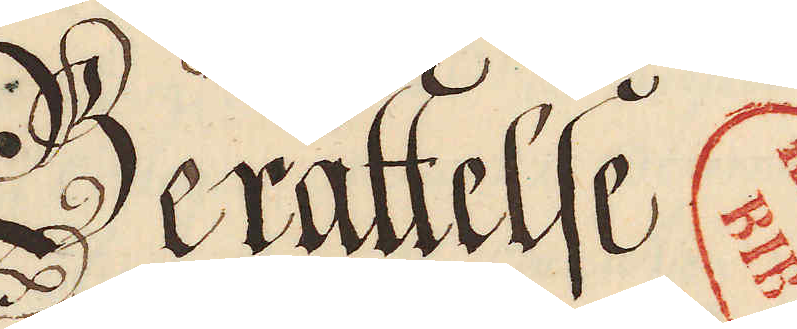Berättelse.
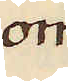om
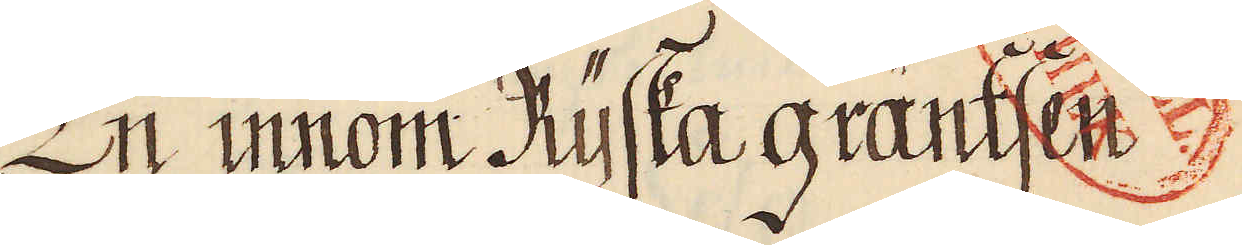En innom Ryska gräntsen
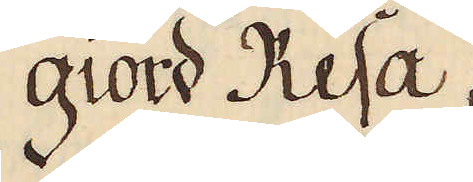giord Resa,
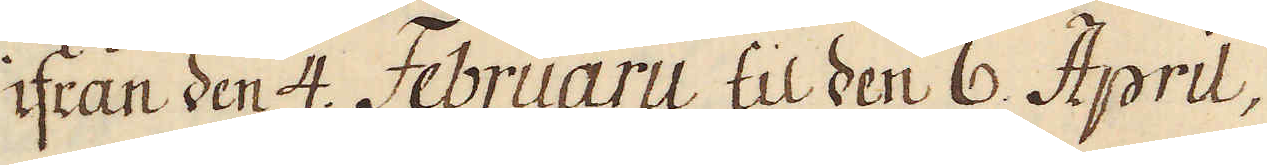ifrån den 4. Februarii til den 6. April,
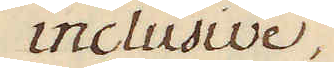inclusive,
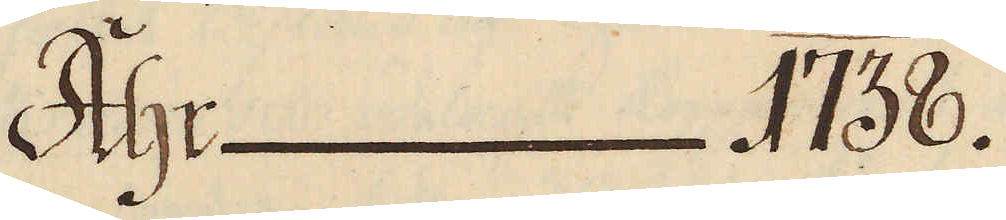Åhr 1738.
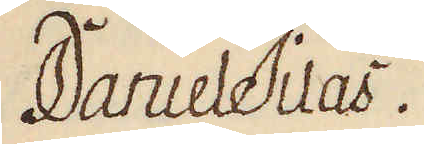Daniel Tilas.
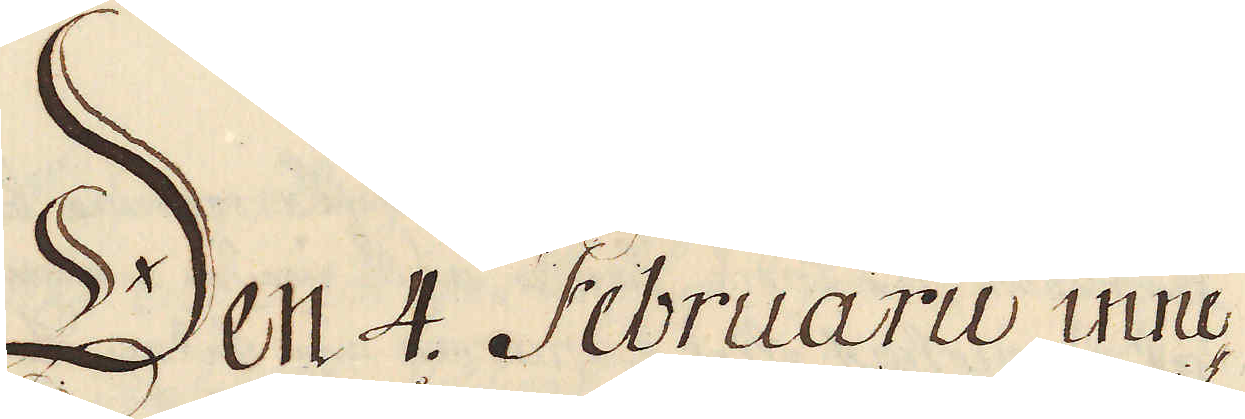Den 4. Februarii inne-
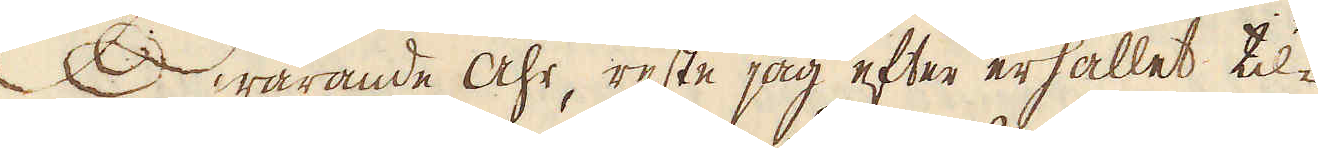warande Åhr, reste jag efter erhållet til-
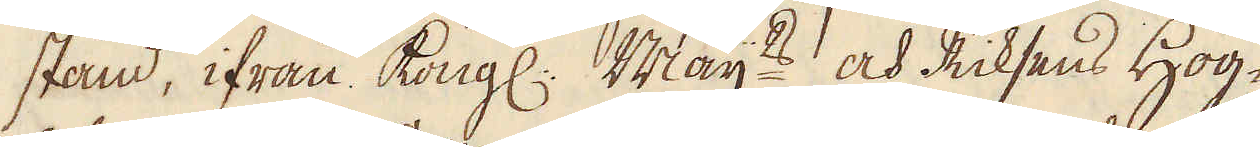stånd, ifrån Kongl: Maij:ts och Riksens Hög-
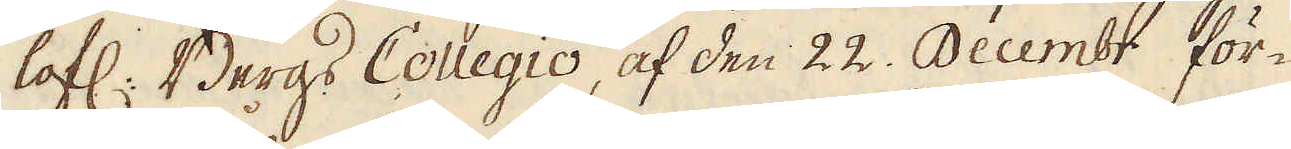lofl: Bergs Collegio, af den 22. Decembr för-
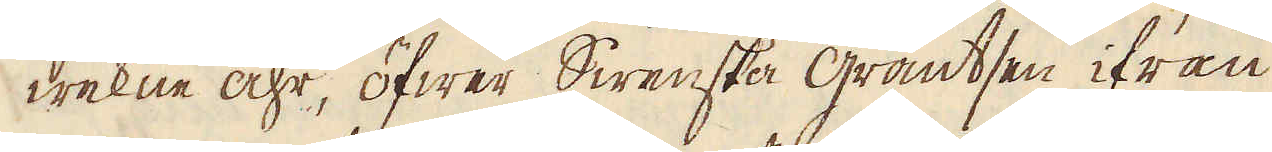wekne åhr, öfwer Swenska gräntsen ifrån
